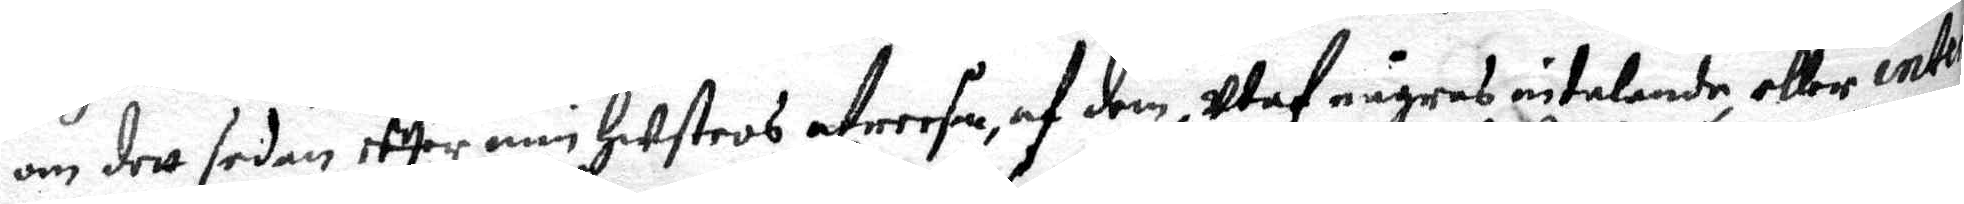om dett sedan effter min hustros afreesa, af dem, Utaf någras intalande eller inter¬
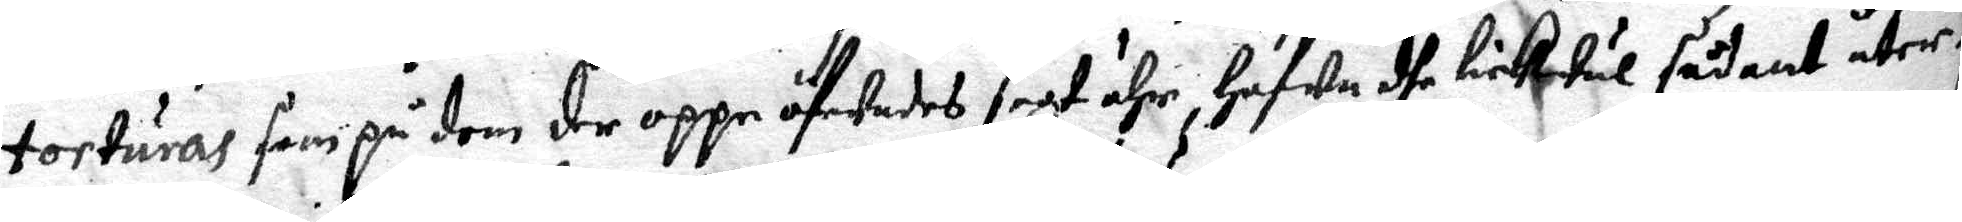torturas, som på dem der oppe öfwades sagt ähr, hafwa dhe likwäl sådant åter¬
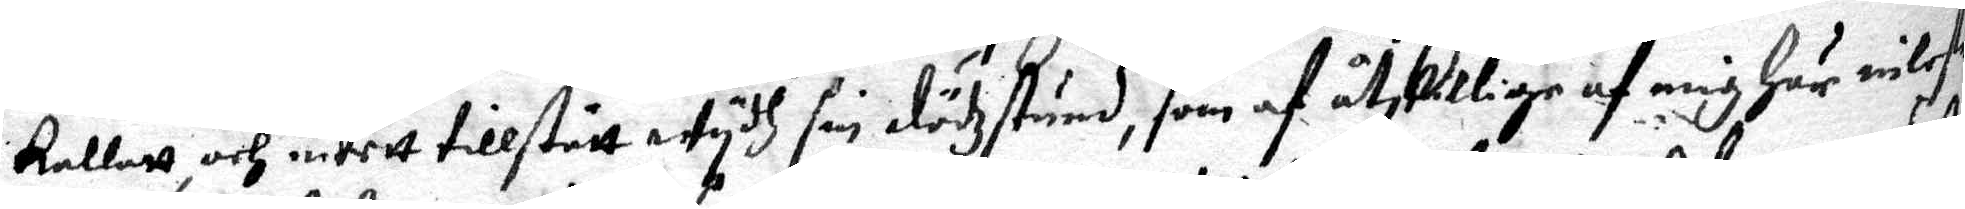kallat, och intett tillstått wydh sin dödzstund, som af åtskillige af mig här inlefe¬
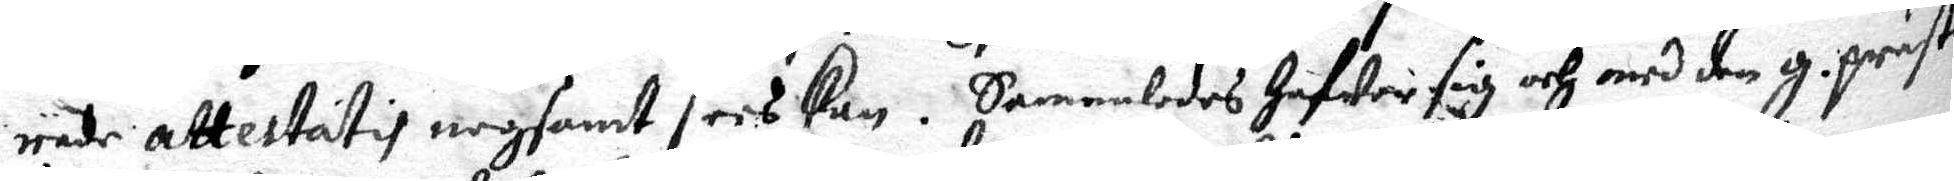rade attestatis nogsamt sees kan. Sammaledes hafwer sig och med den g. präste¬
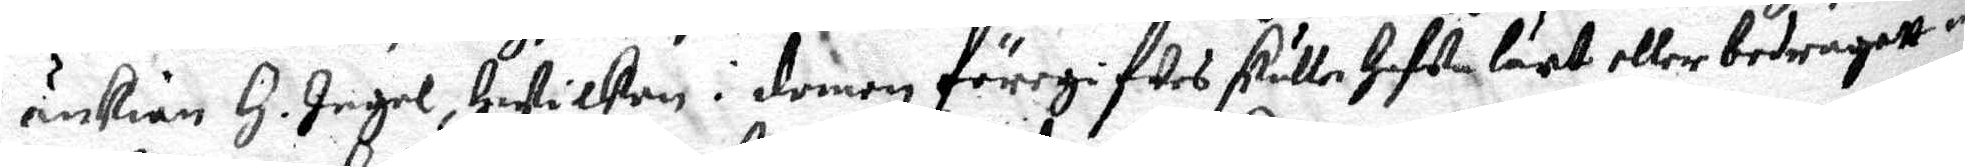änkian H. Ingel, hwilken i domen föregifwes skulle hafwa lärt, eller bedragatt 
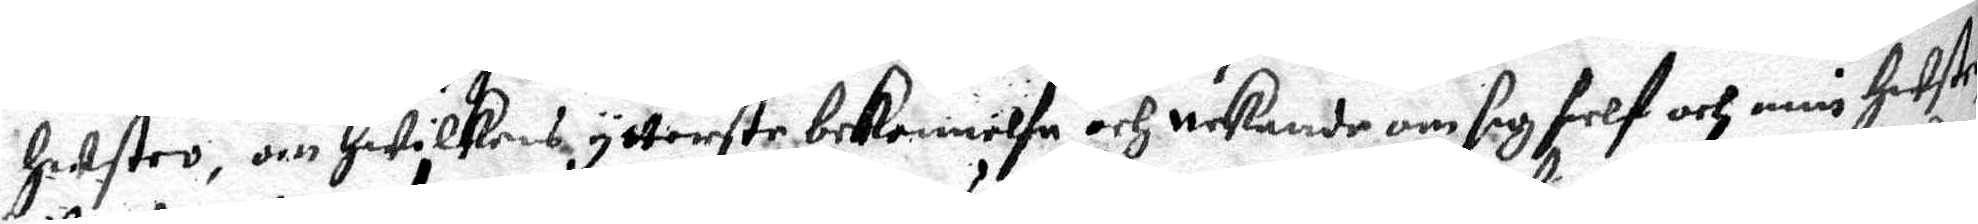hustro, om hwilkens ytterste bekennelse och nekande om sig sielf och min hustro
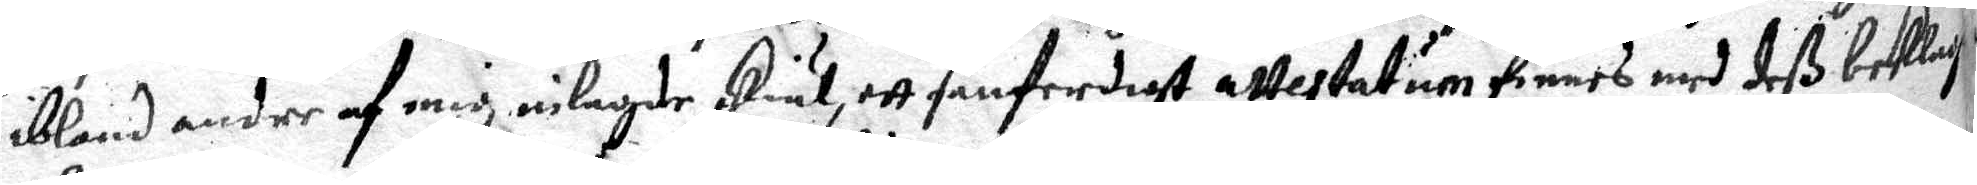ibland andre af mig inlagde skiäl, ett sanferdigt attestatum finnes med deß beklag:
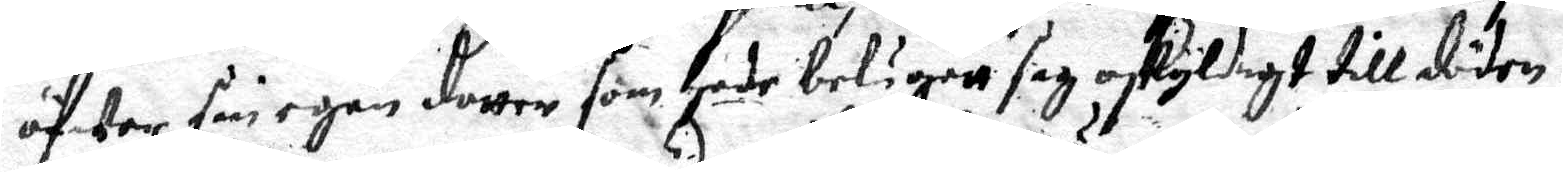öfwer sin egen dotter som hade belägett sig oskyldigt till döden.
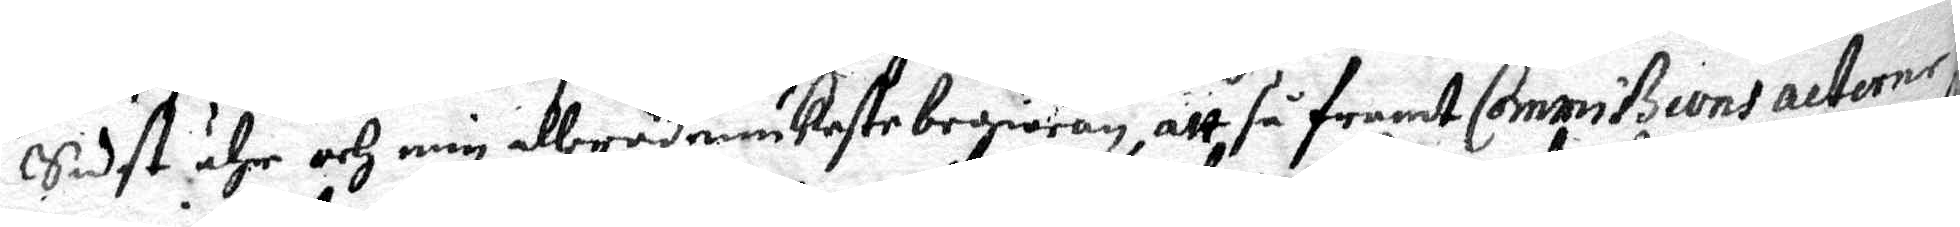Sidst ähr och min aller ödmiuaste begiäran, att så framt Commissions alteme¬
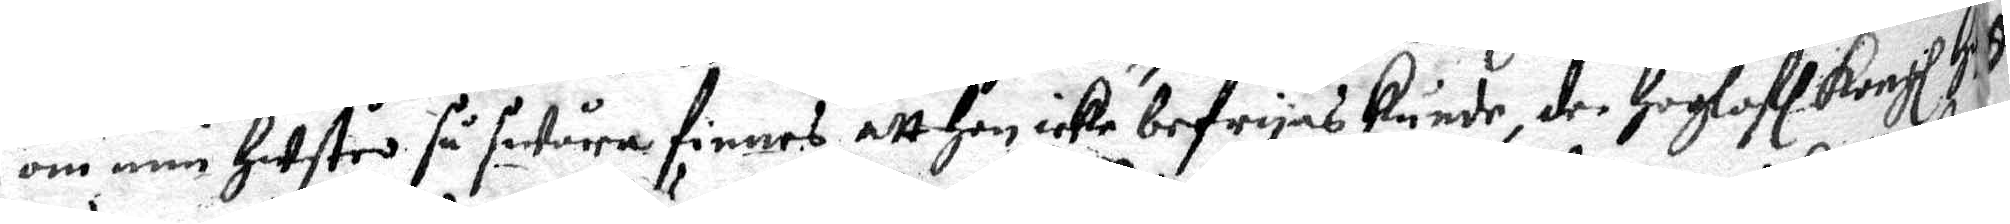om mn herstro så swåra finnes att hon icke befrias kunde der Högloff Kongl: .
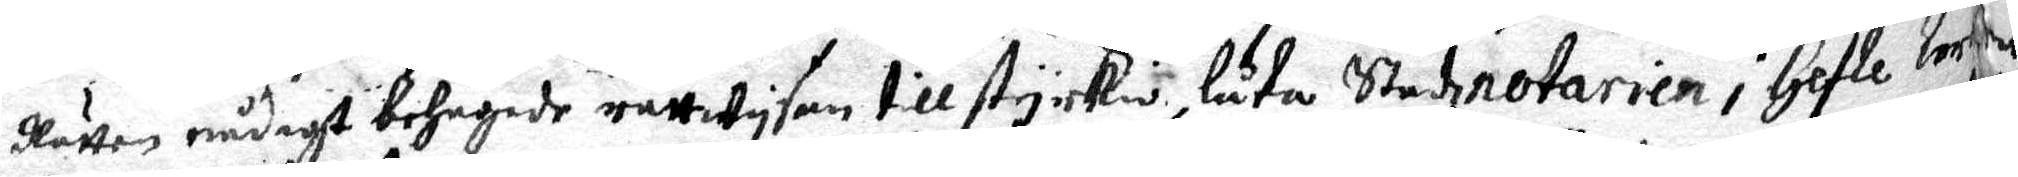Rätten nådigt behagade rättwysen till styrckio, suter Stedenotarien j holle Mk
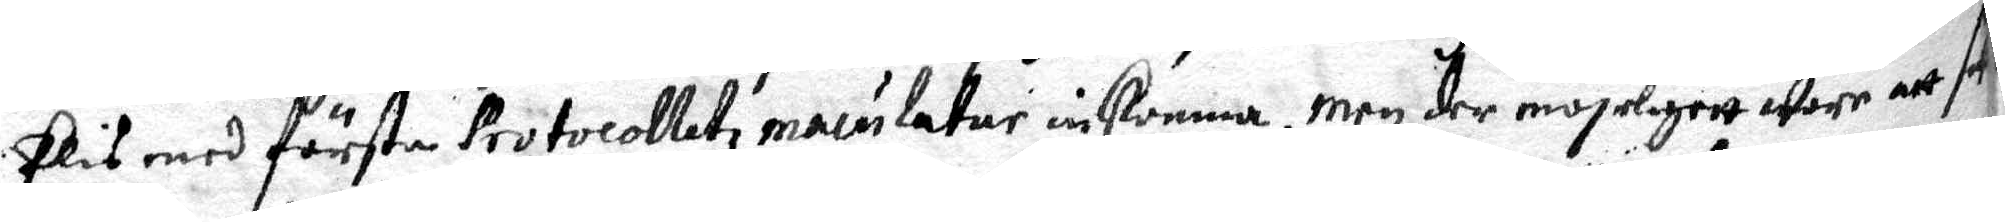Elis med förste Protocolletz maiulater inkomma, men der mögeligen wore at sik
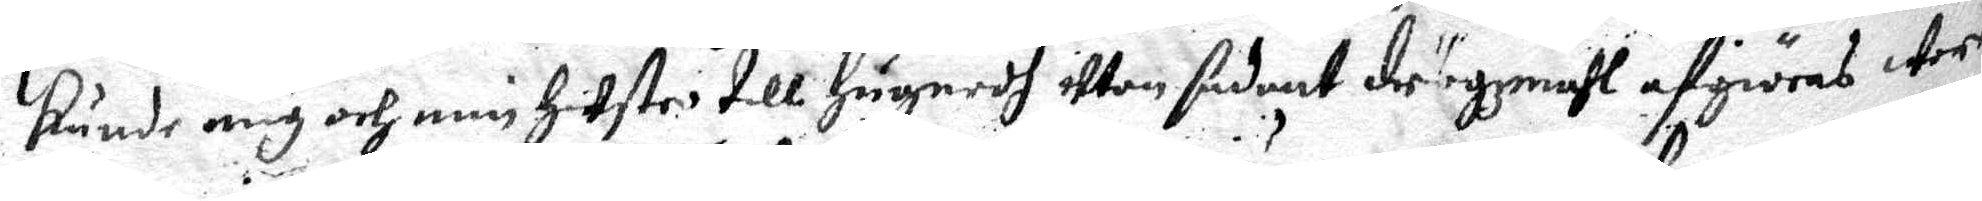kunde mg och min hiestro till Hugnedh uttan sådant drrgemähl af giöras Wor
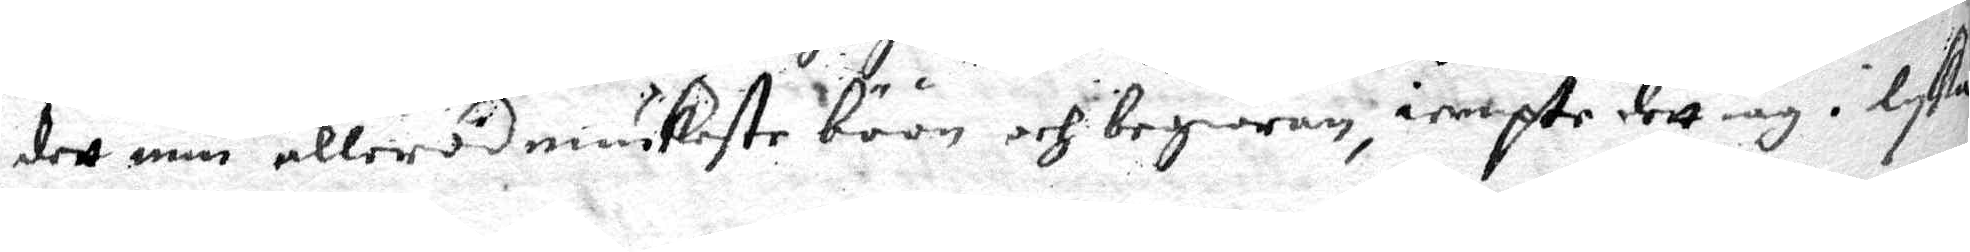der min ellerödmiukaste böön och begiäran, iempte dett iag i lyka
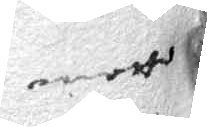motto
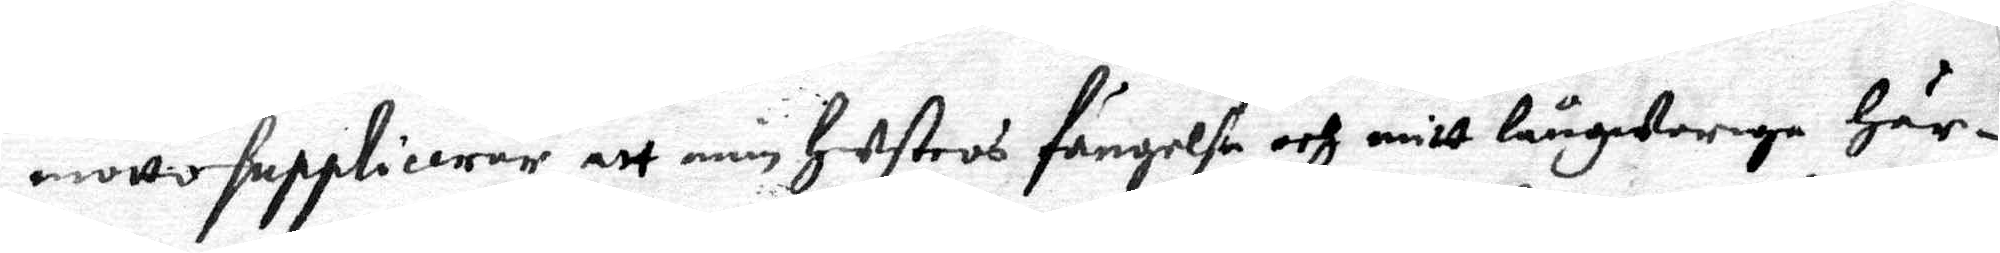motto supplicerar att min hustros fängelse och mitt långwarige här¬
